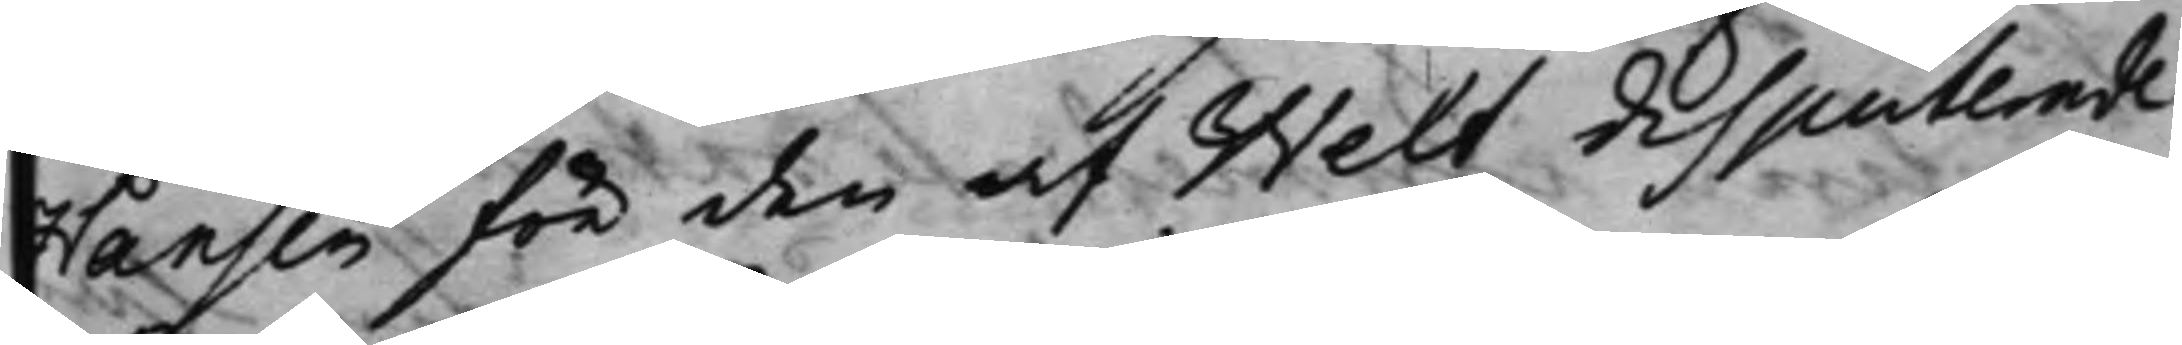Hansen för den af Welt disputerade
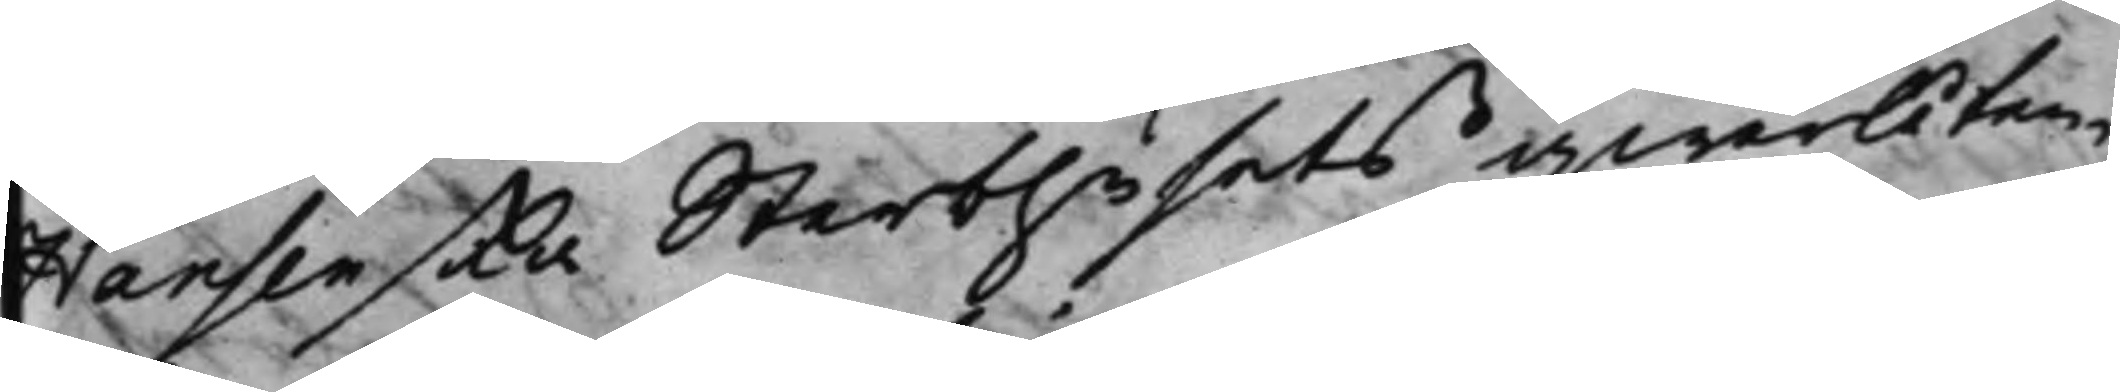Hansenska Sterbhusets qwarlåten¬
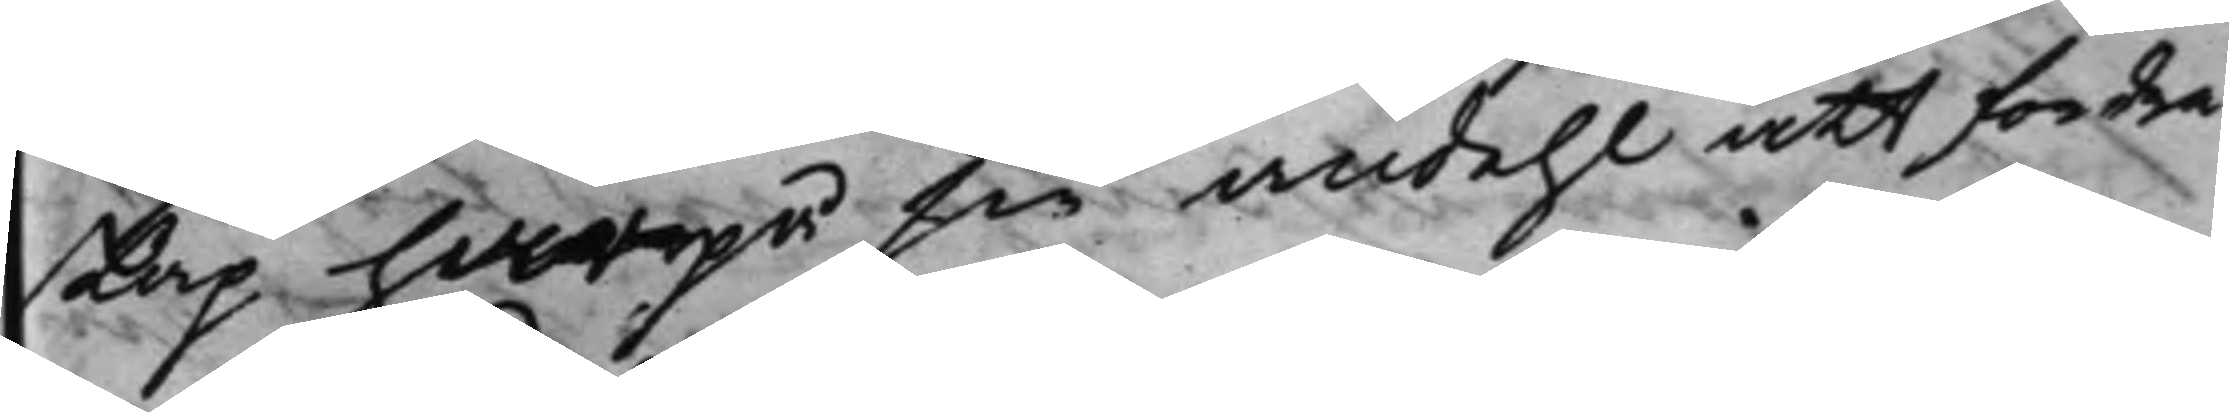skap hwarpå sin andehl att fordra
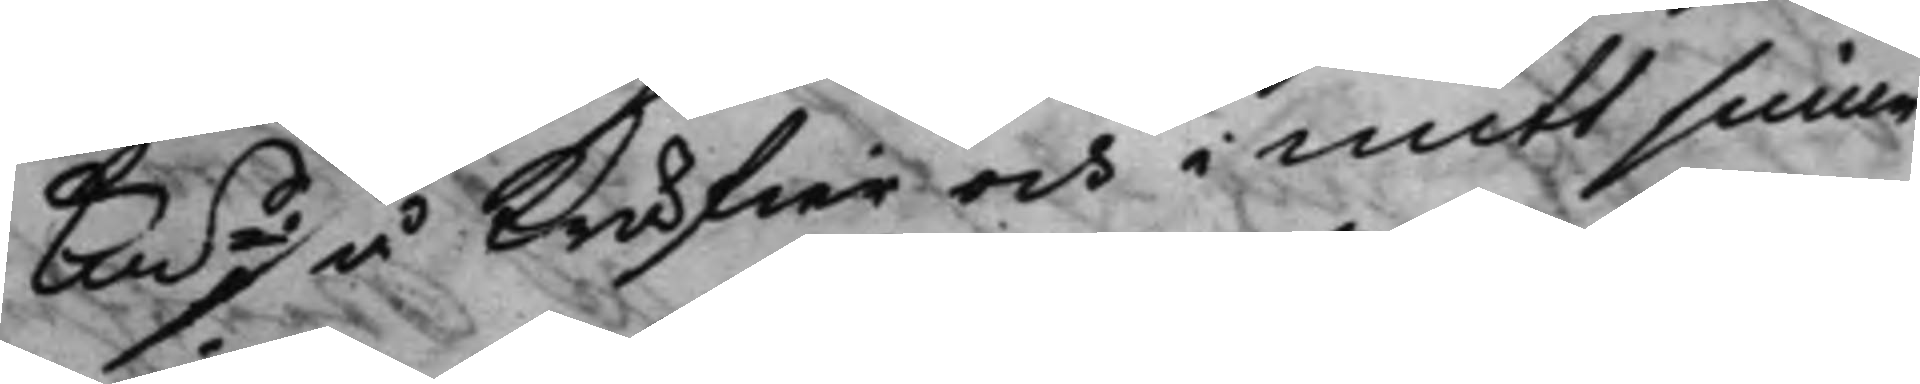Kms ./. å kräfwa och mitt sinne
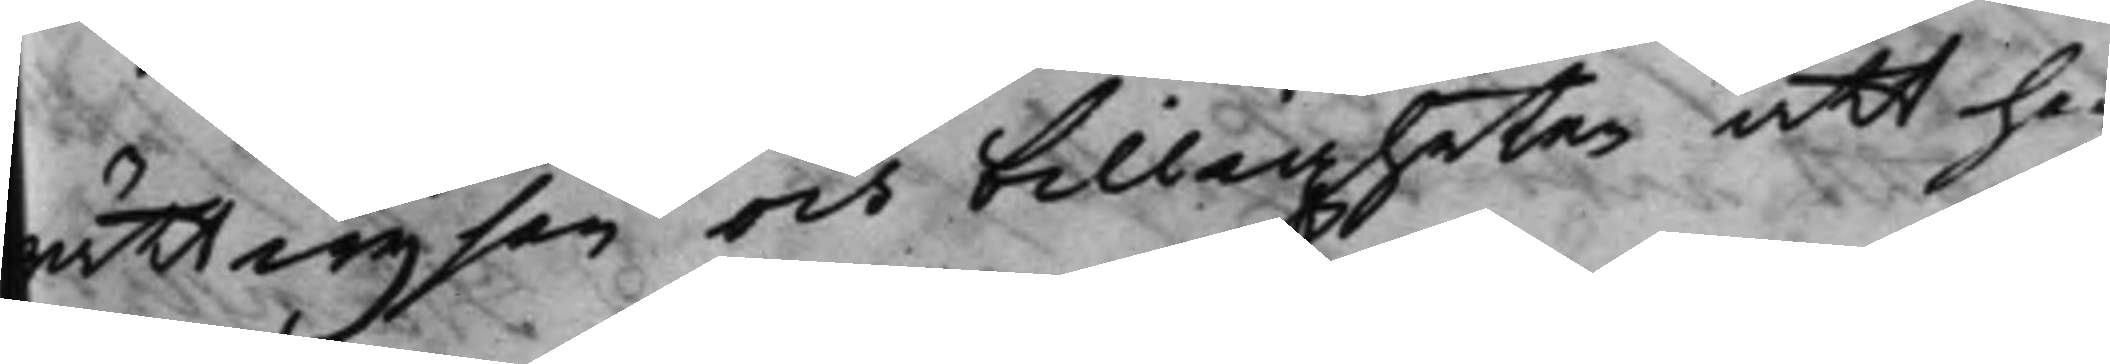rättwijsan och billigheten att han
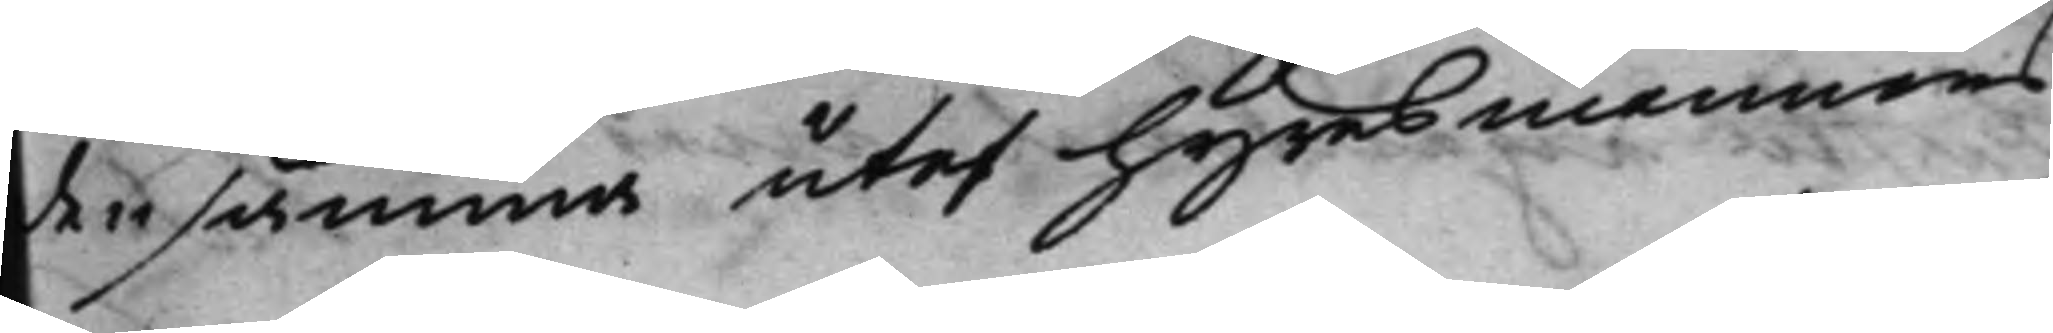densamma utaf hyresmannens
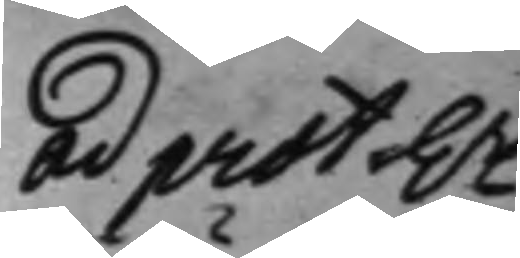Ad prot hr
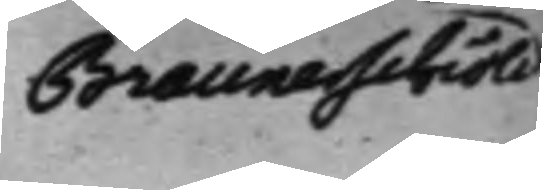Braunerschiöld
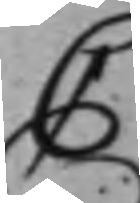C
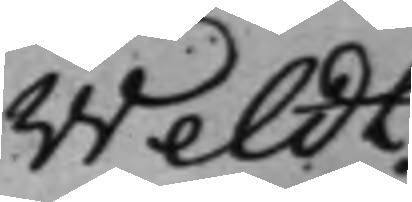Weldt.
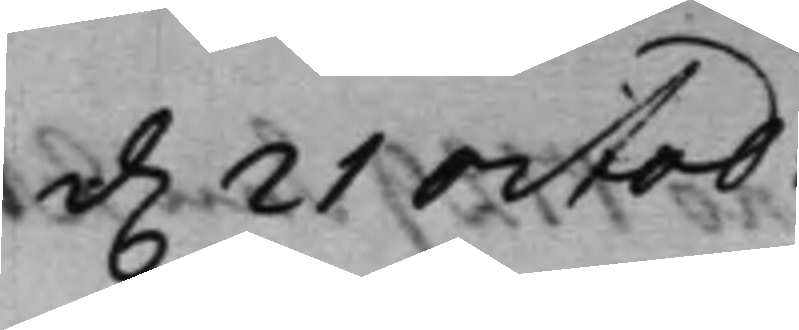d. 21 Octob:
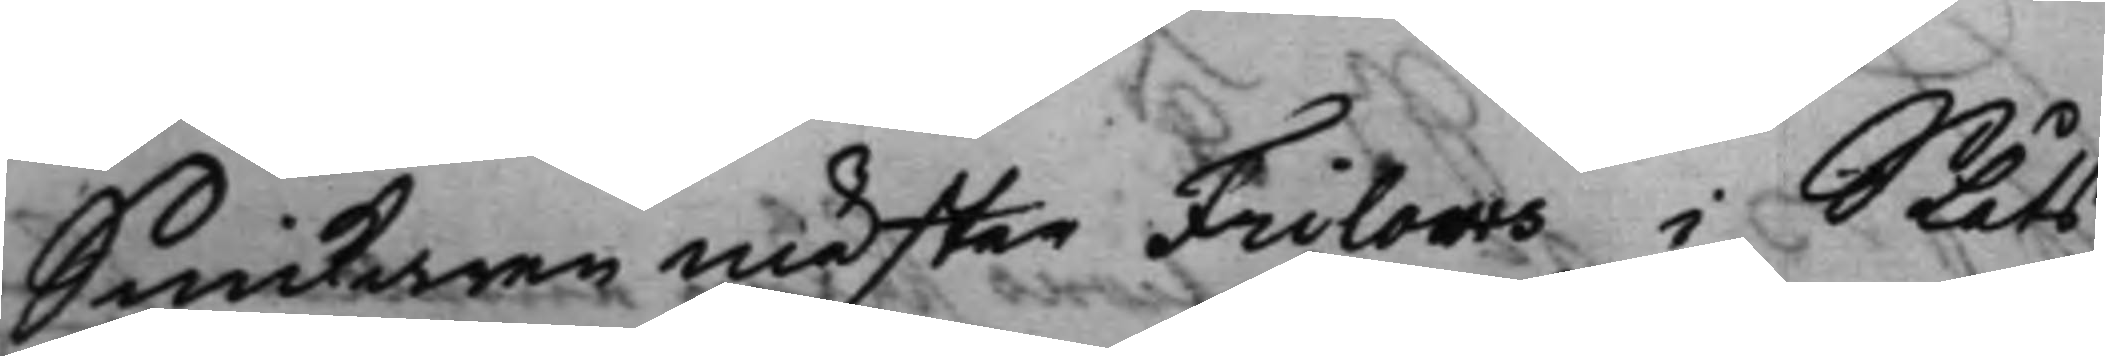Snickaren mäster Frilows i Slåtts¬
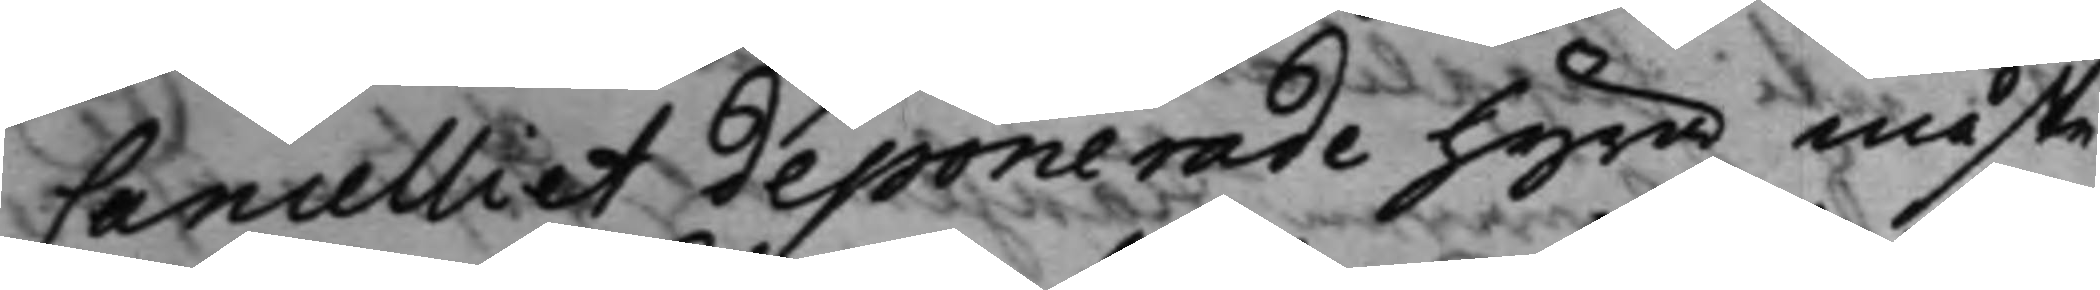Cancelliet deponerade hyra måste
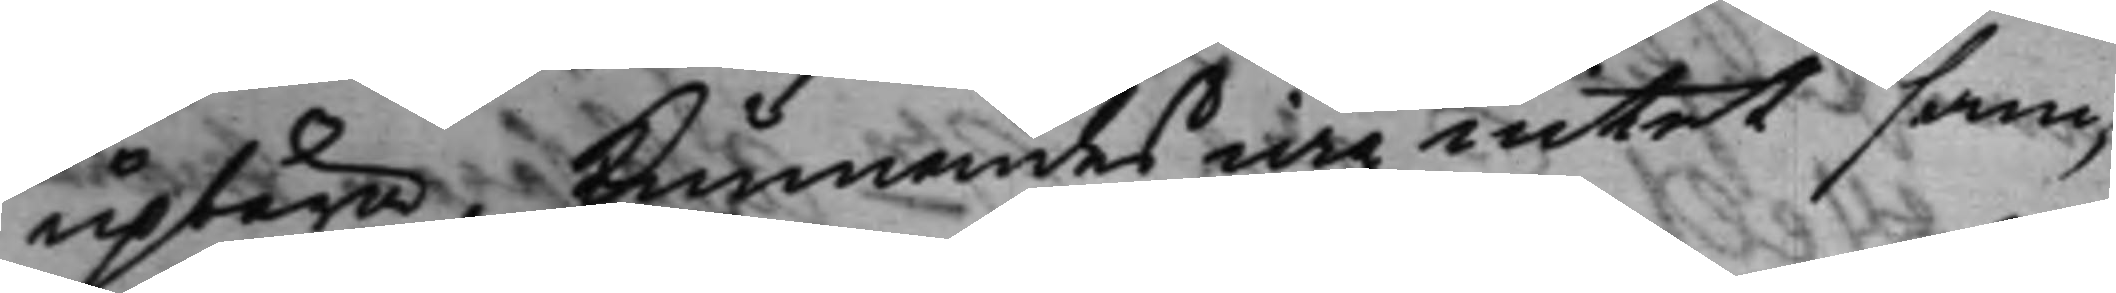upbära, kunnandes iag intet sam¬
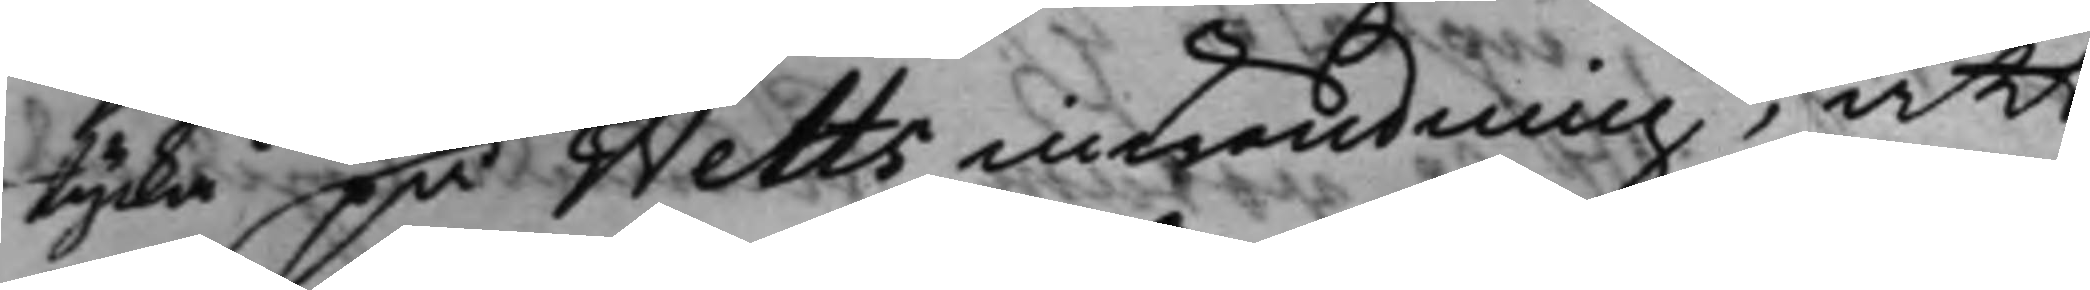tycka på Welts inwändning, att
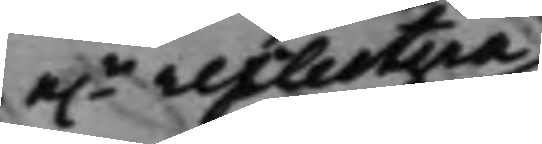e.r reflectera
